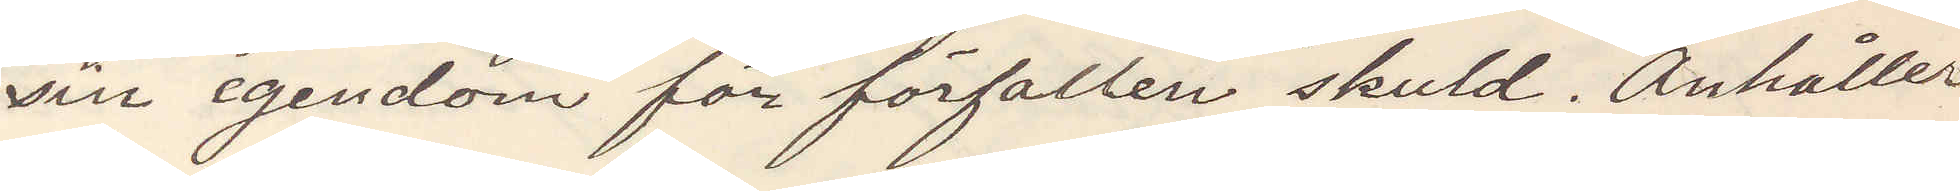sin egendom för förfallen skuld. Anhåller
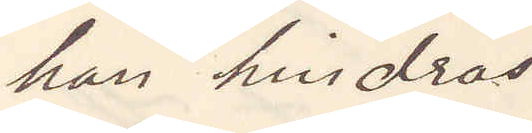han hindras
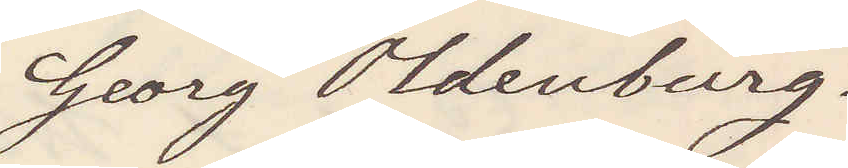Georg Oldenburg.
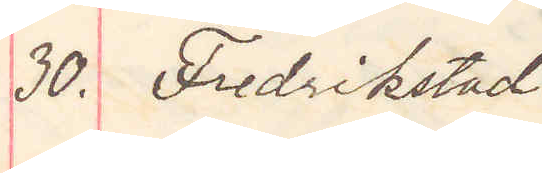30. Fredrikstad
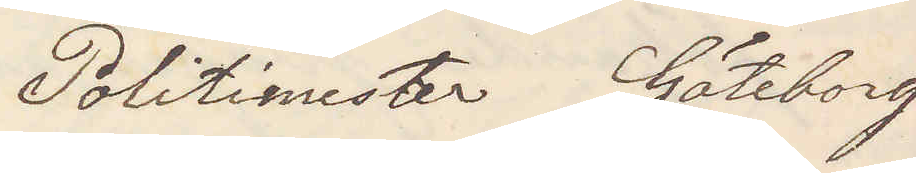Politimester Göteborg
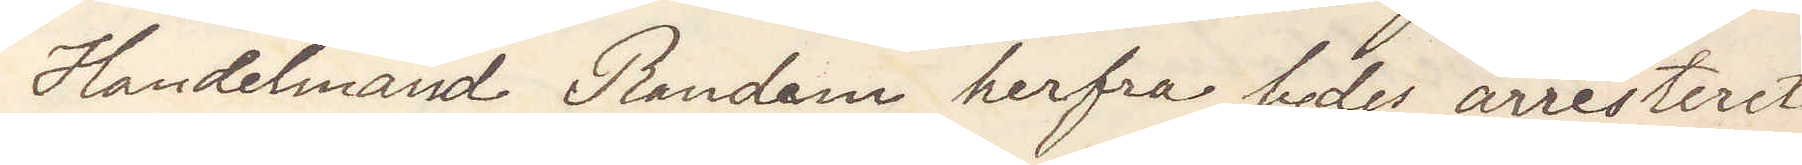Handelsmand Randem herfra bedes arresteret
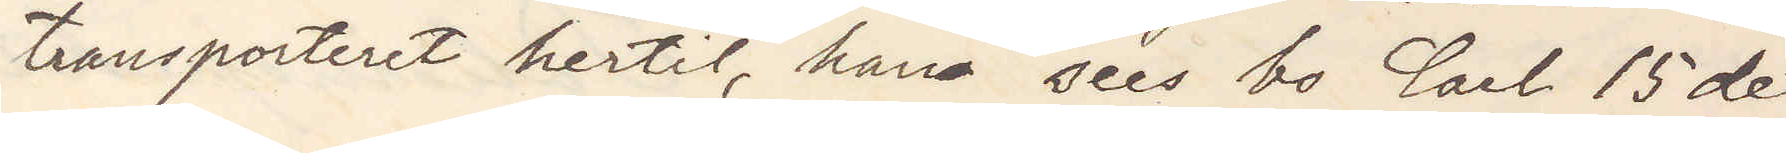transporteret hertil, hans sees bo Carl 15de
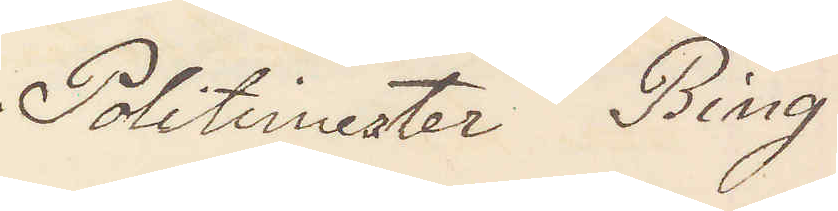Politimester Bing
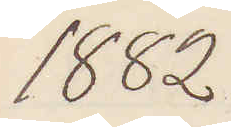1882
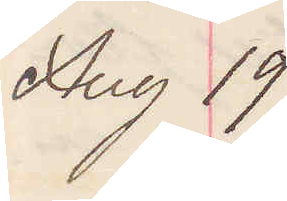Aug 19.
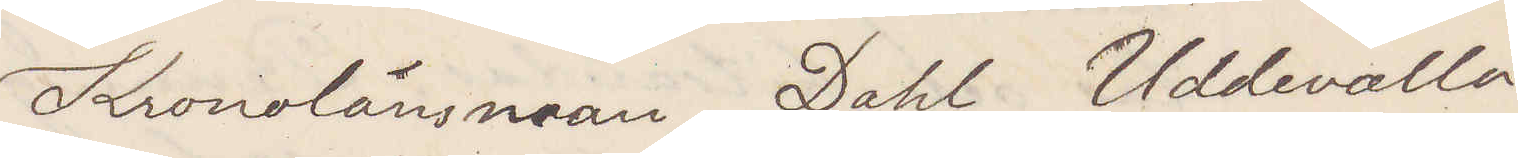Kronolänsman Dahl Uddevalla
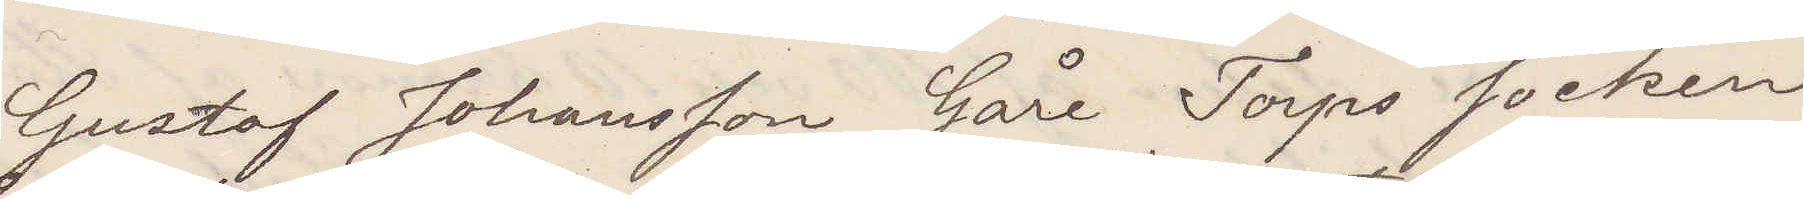Gustaf Johansson Gåre Torps socken
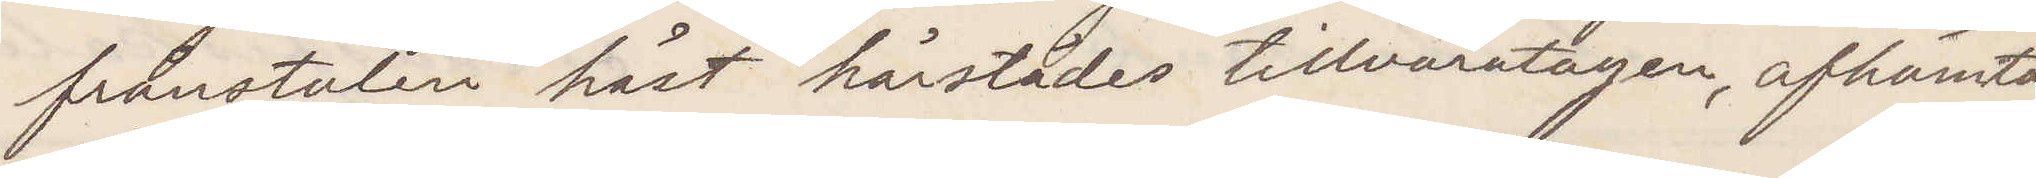frånstulen häst härstädes tillvaratagen, afhämtas
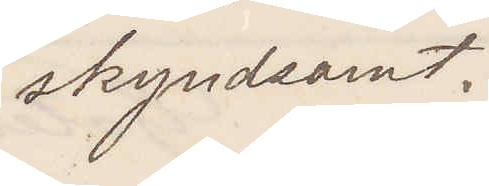skyndsamt.
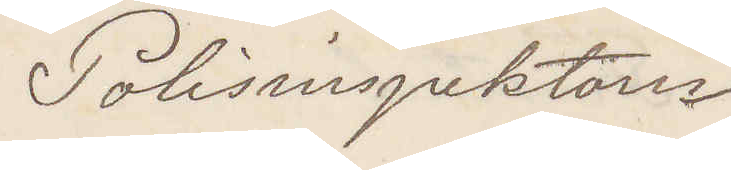Polisinspektorn
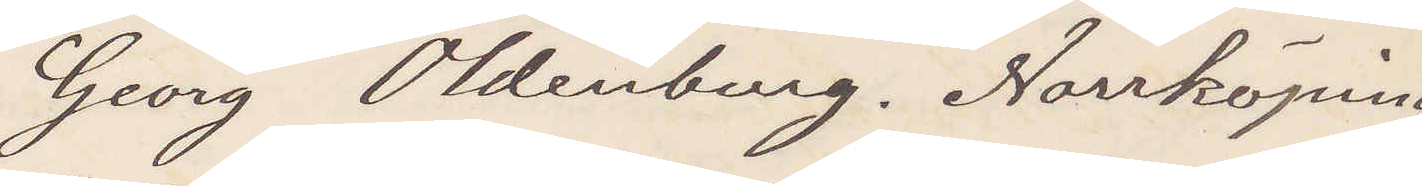Georg Oldenburg. Norrköping
